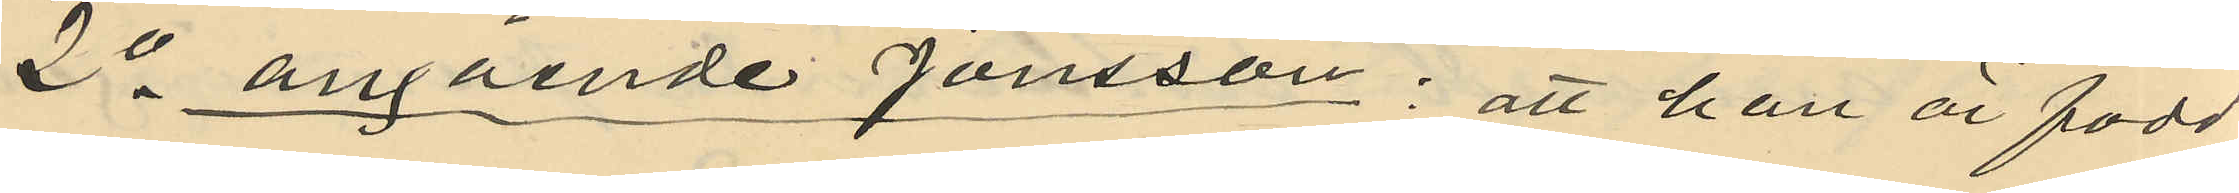2o angående Jansson: att han är född
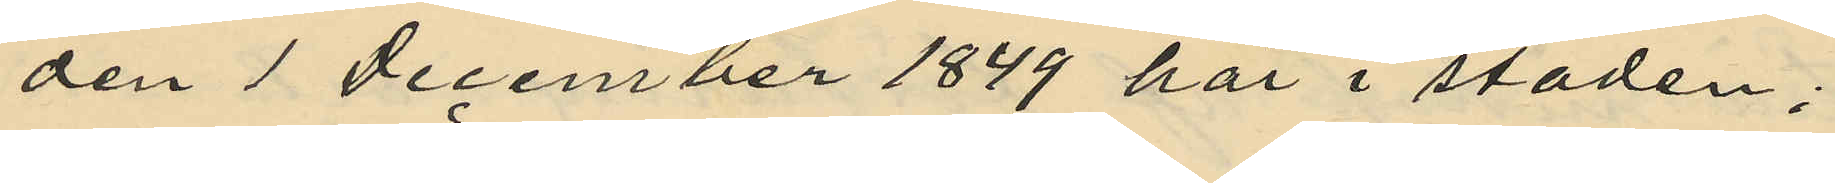den 1 December 1849 här i staden;
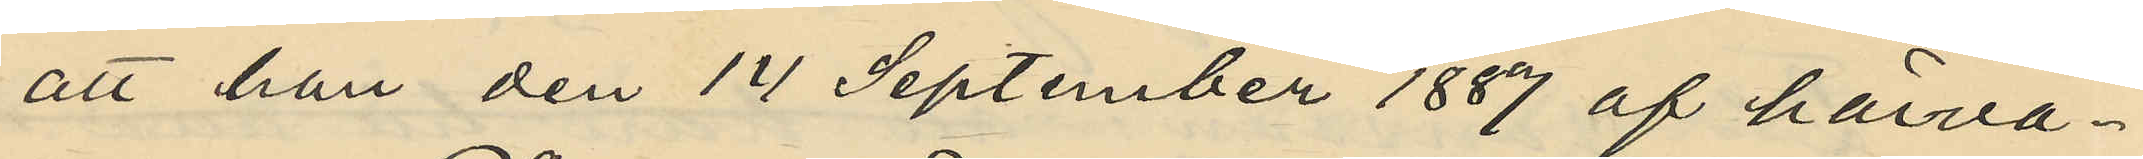att han den 14 September 1887 af härva¬
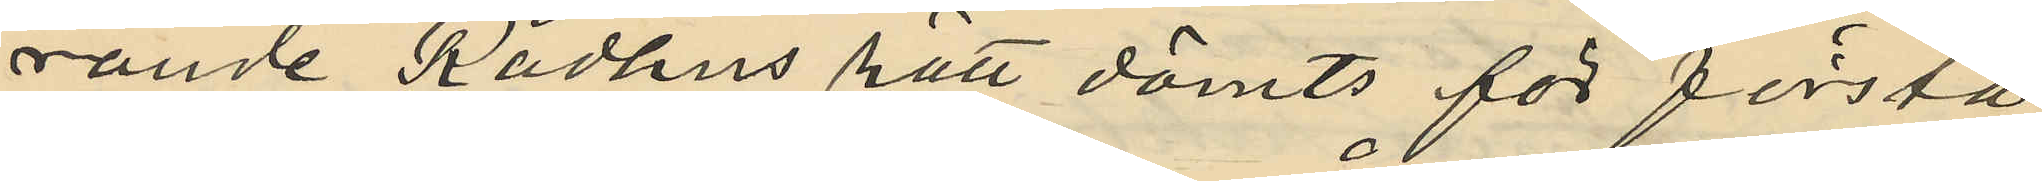rande Rådhus rätt dömts för första
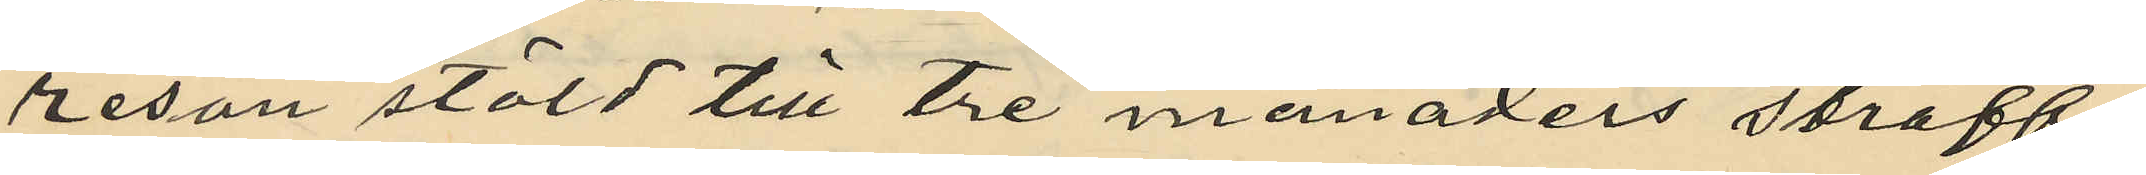resan stöld till tre månaders straff¬
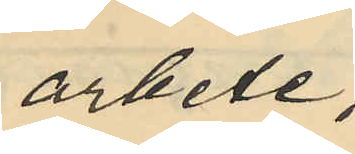arbete,
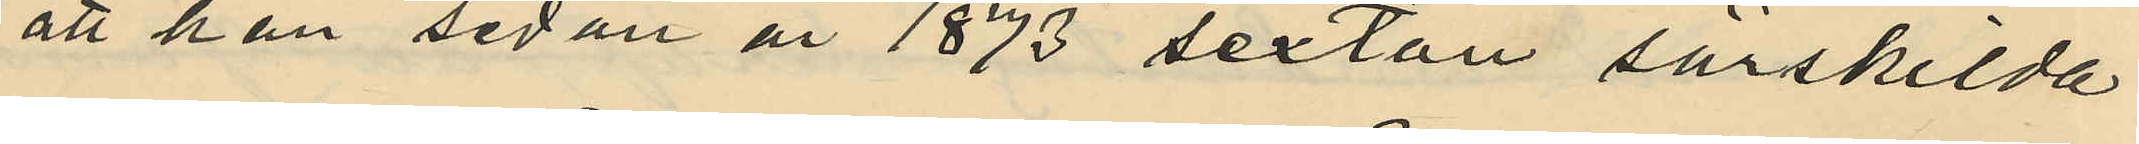att han sedan år 1873 sexton särskilda
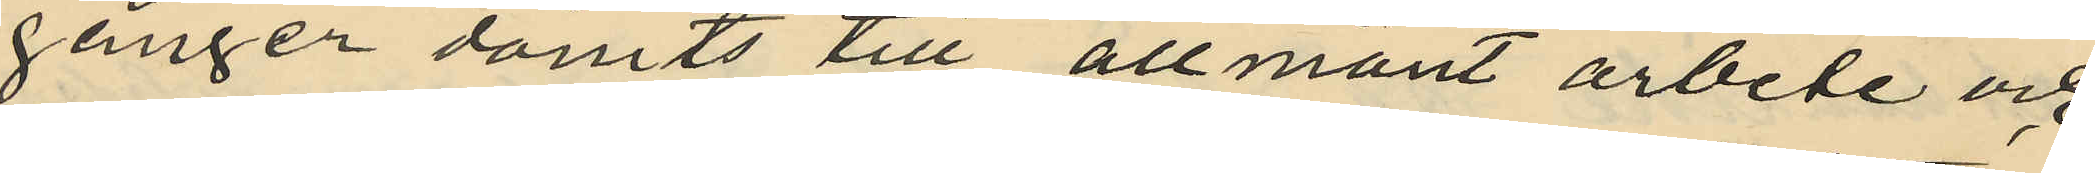gånger dömts till allmänt arbete och
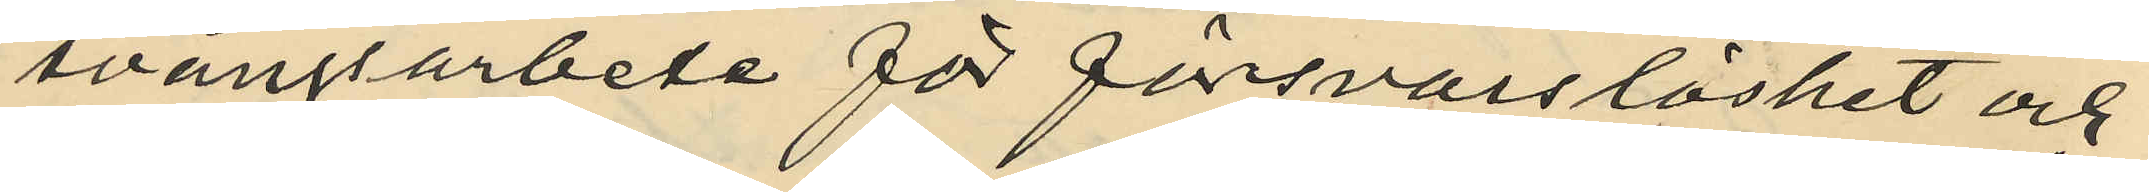tvångsarbete för försvarslöshet och
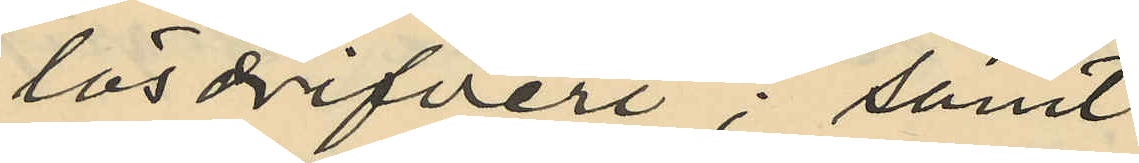lösdrifveri; samt
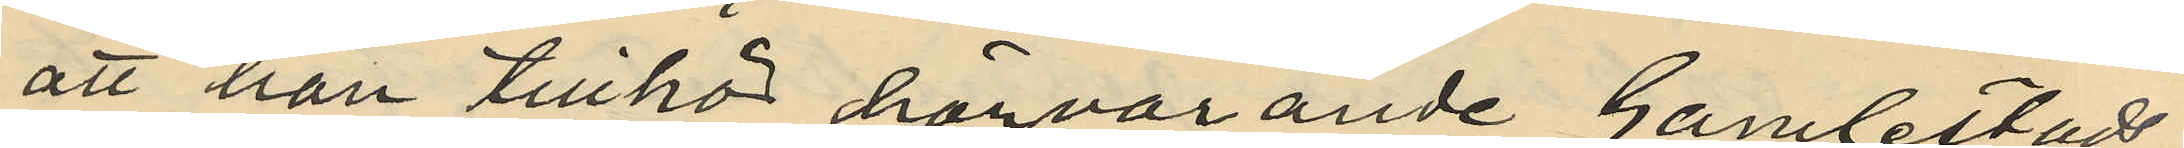att han tillhör härvarande Gamlestads
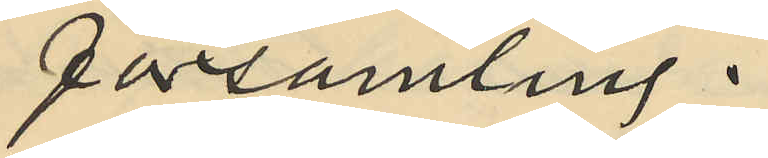församling.
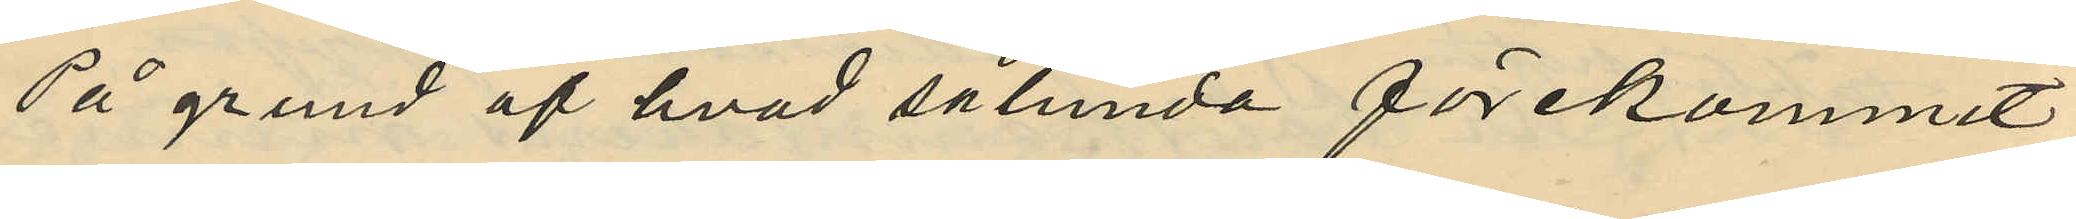På grund af hvad sålunda förekommit
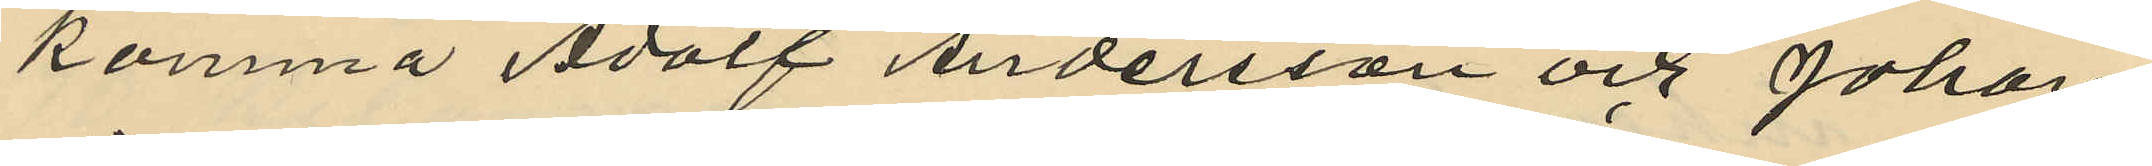komma Adolf Andersson och Johan
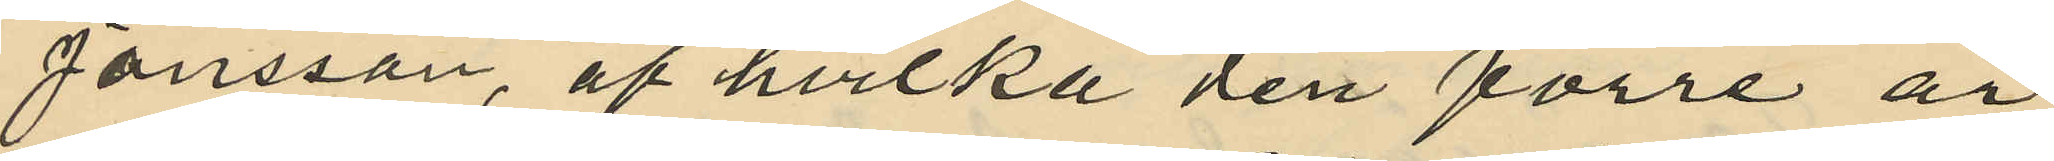Jansson, af hvilka den förre är
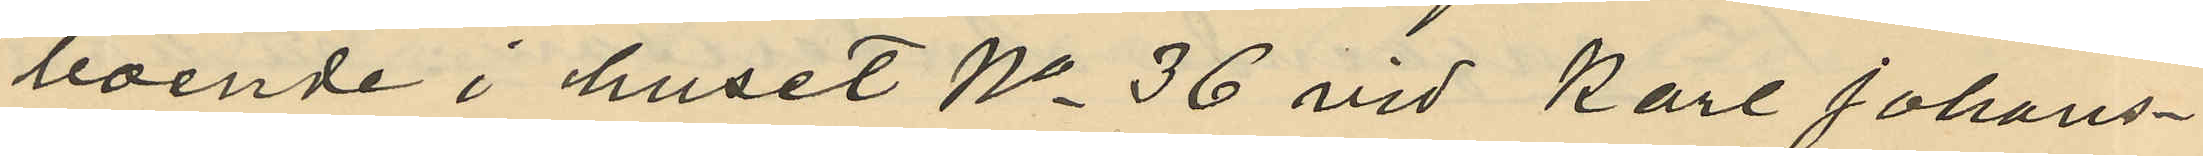boende i huset No 36 vid Karl Johans¬
